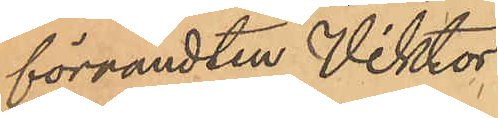förvandten Viktor
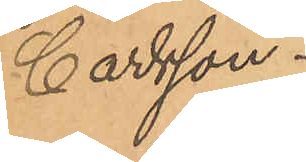Carlsson.
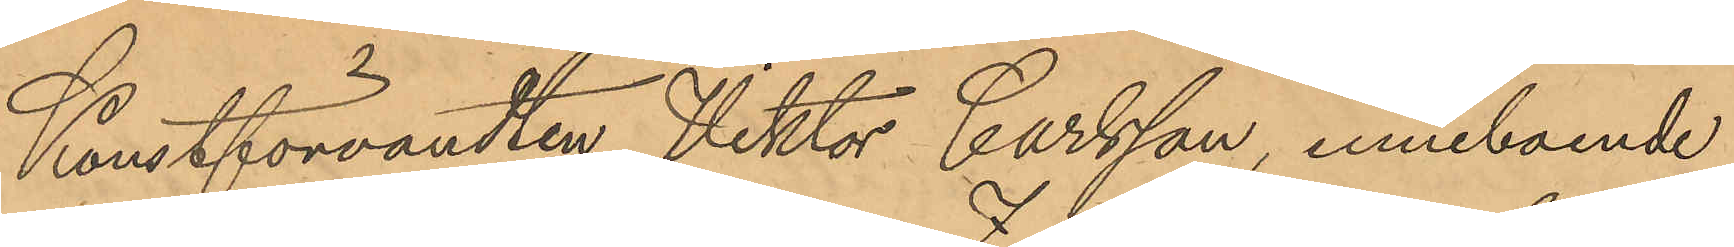Konstförvandten Viktor Carlsson, inneboende
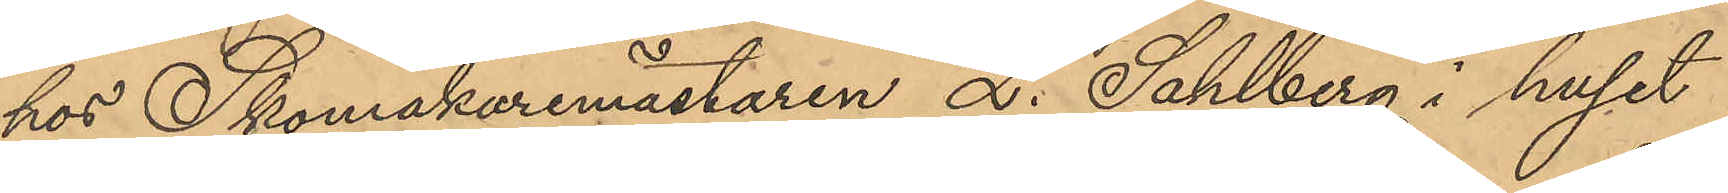hos Skomakaremästaren L. Sahlberg i huset
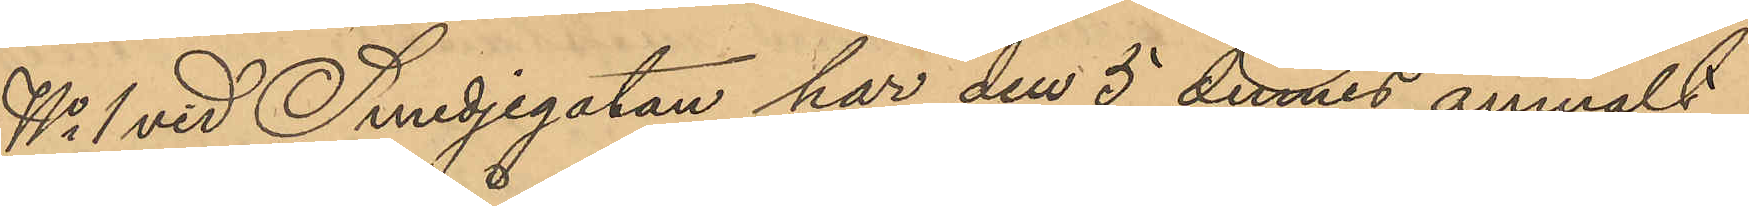No 1 vid Smedjegatan har den 5 dennes anmält
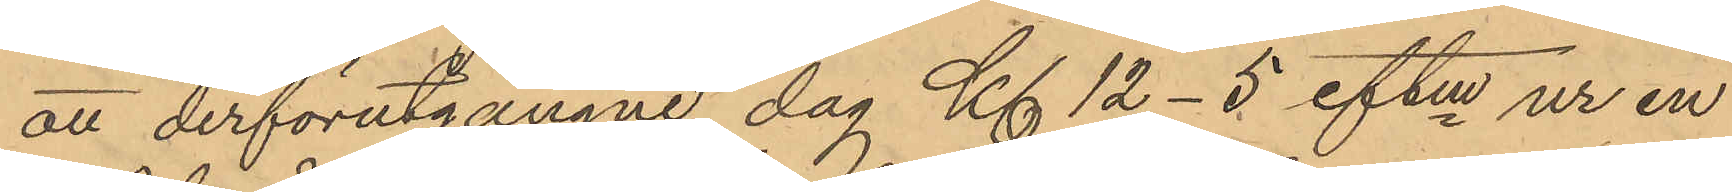att derförutgångne dag Kl. 12-5 eftm ur en
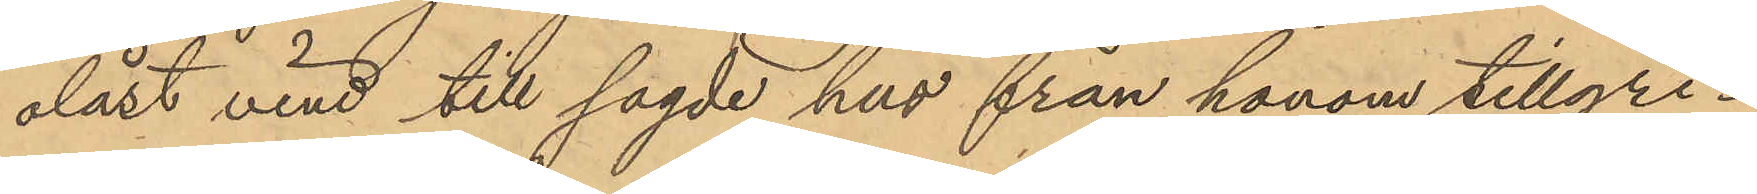olåst vind till sagde hus från honom tillgri¬
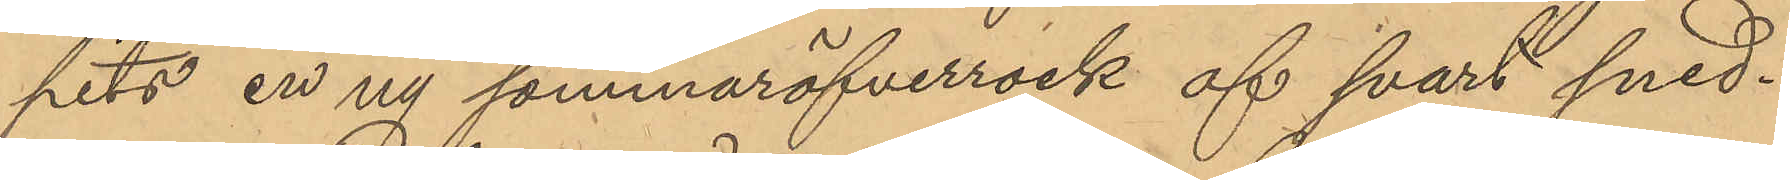pits en ny sommaröfverrock af svart sned¬
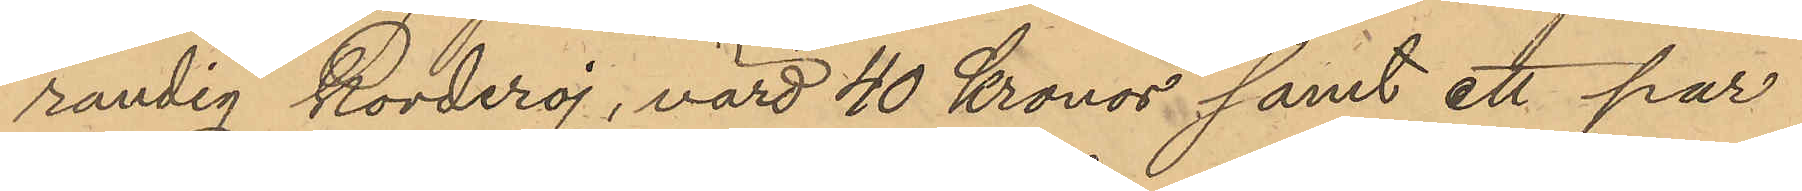randig korderoj, värd 40 Kronor samt ett par
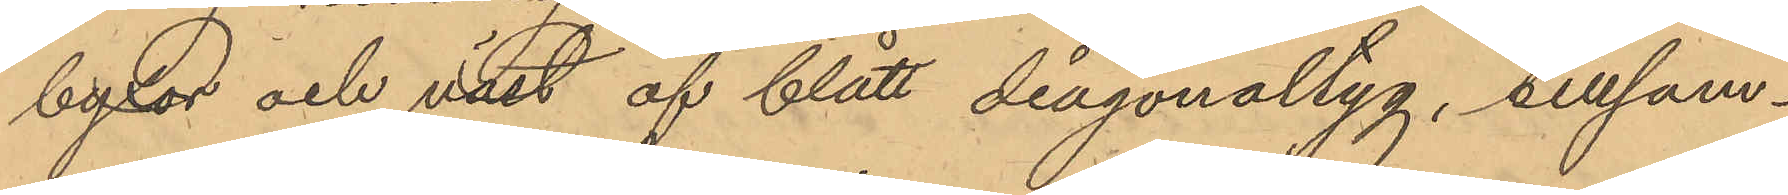byxor och väst af blått diagonaltyg, tillsam¬
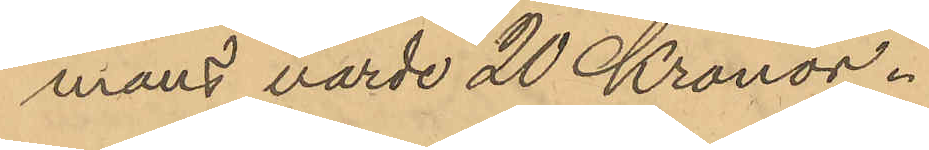mans värde 20 Kronor.
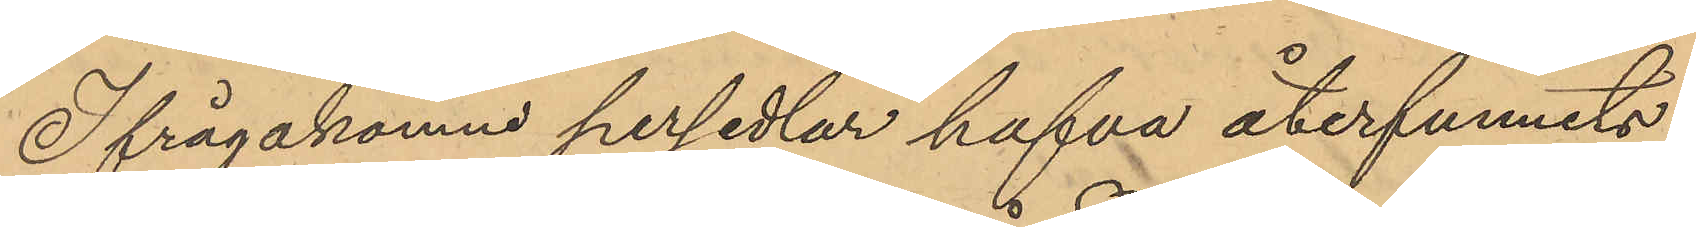Ifrågakomne persedlar hafva återfunnits
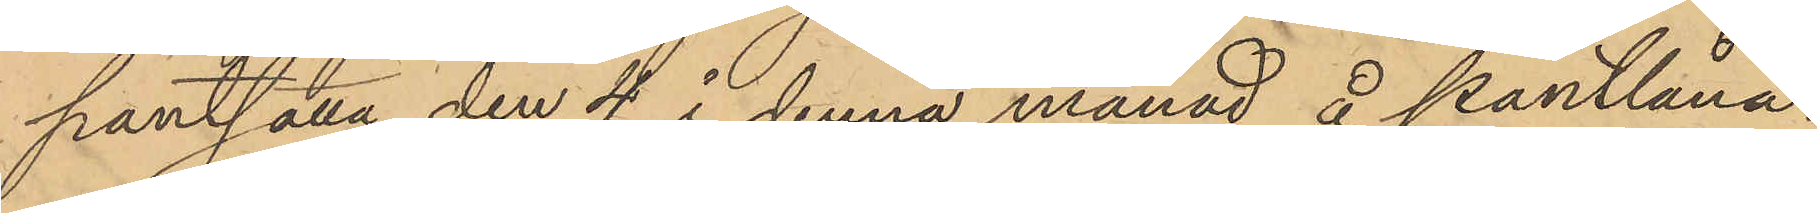pantsatta den 4 i denna månad å pantlåna¬
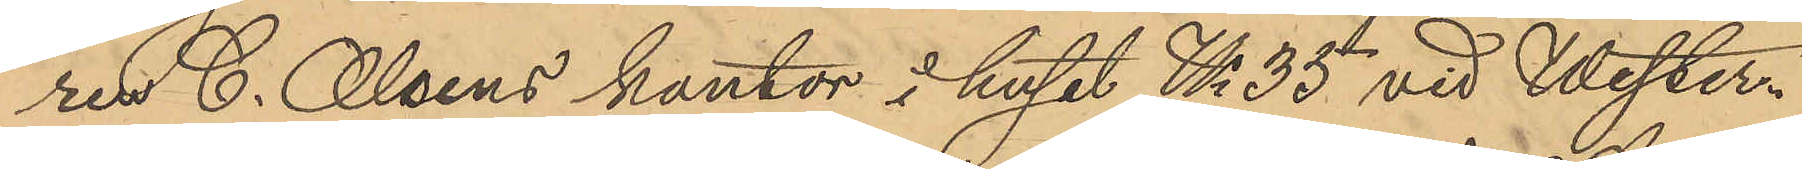ren C. Olsens kontor i huset No 35 vid Wester¬
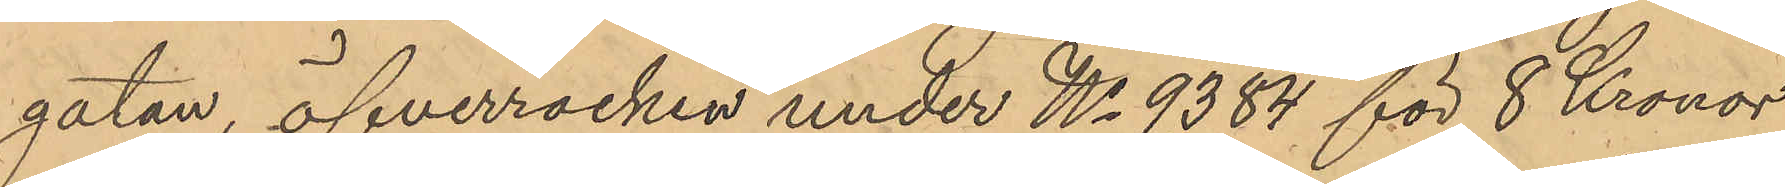gatan, öfverrocken under No 9,384 för 8 Kronor
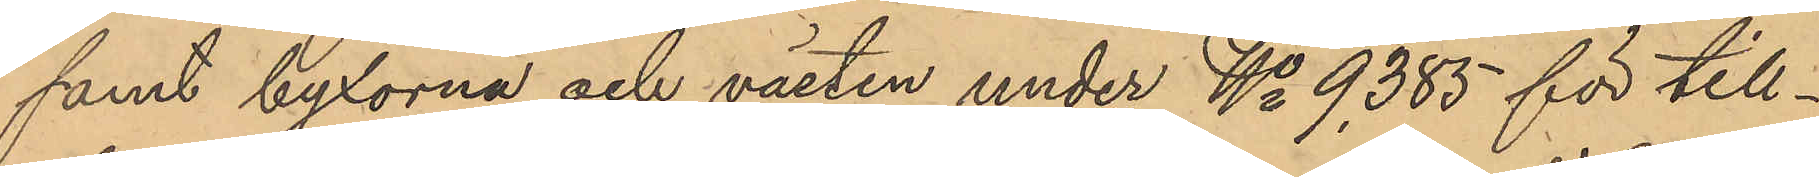samt byxorna och västen under No 9,385 för till¬
